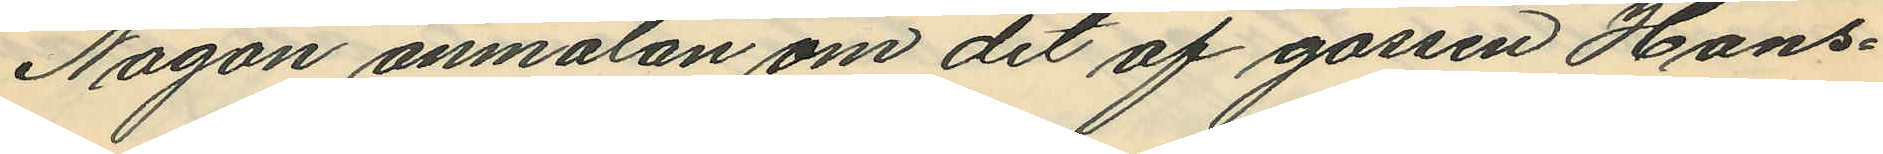Någon anmälan om det af gossen Hans¬
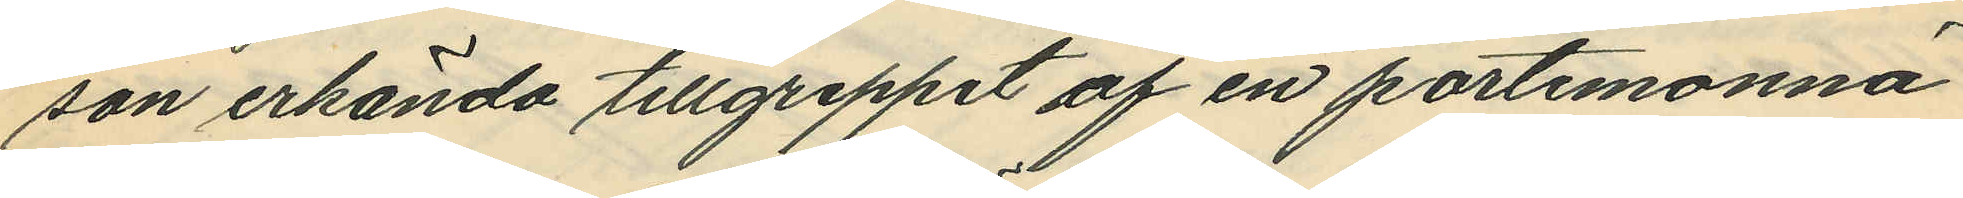son erkända tillgreppet af en portemonnä
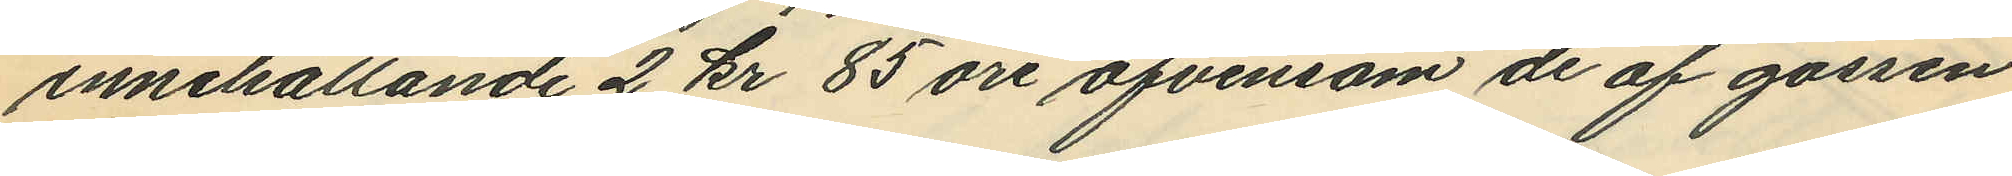innehållande 2 kr 85 öre äfvensom de af gossen
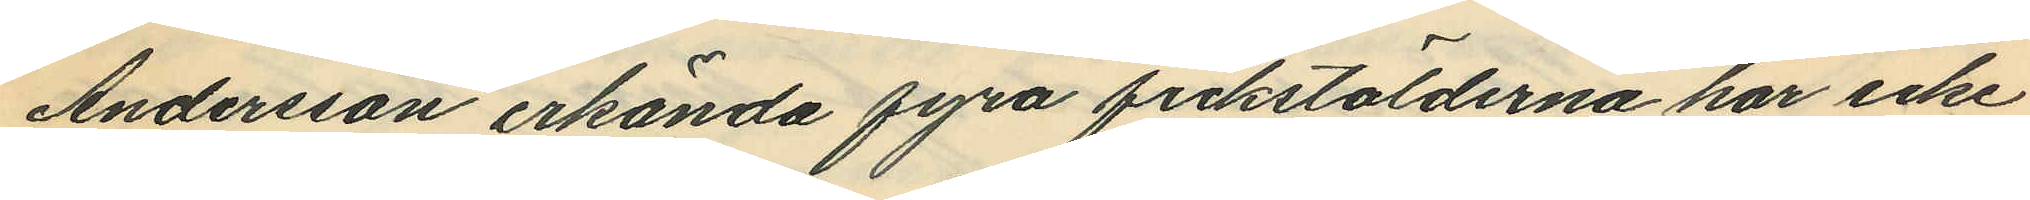Andersson erkända fyra fickstölderna har icke
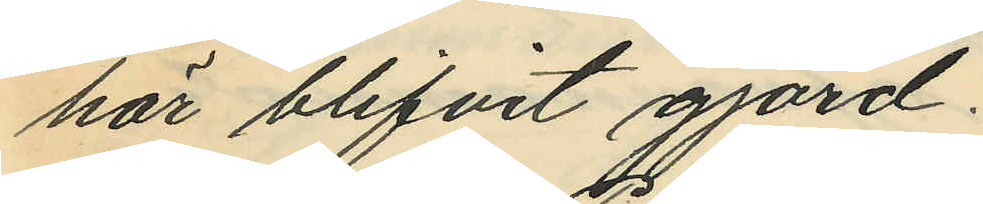här blifvit gjord.
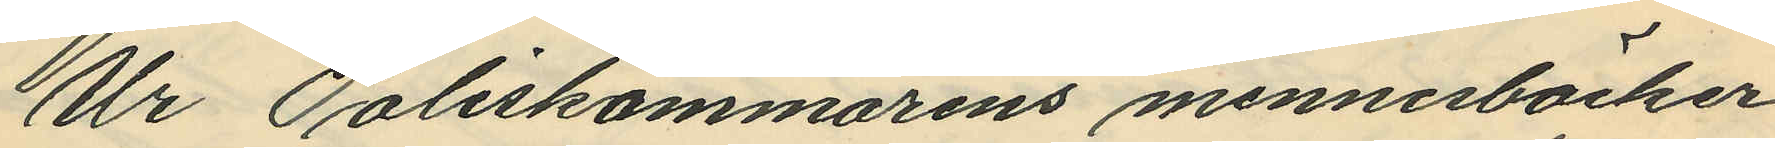Ur Poliskammarens minnesböcker
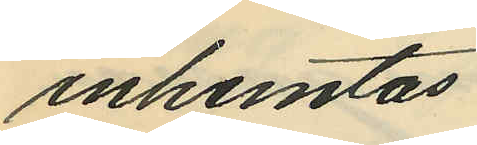inhemtas
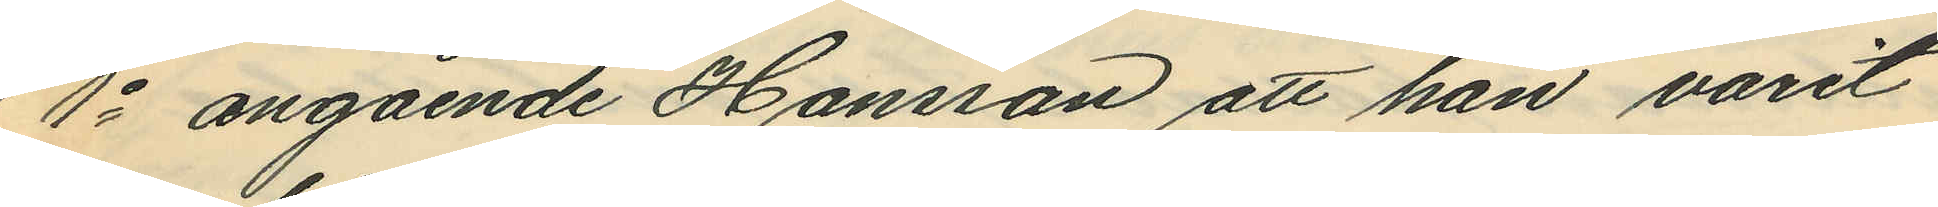1o angående Hansson att han varit
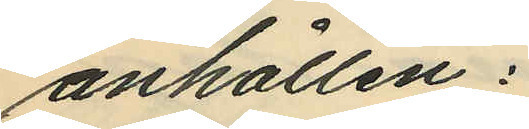anhållen:
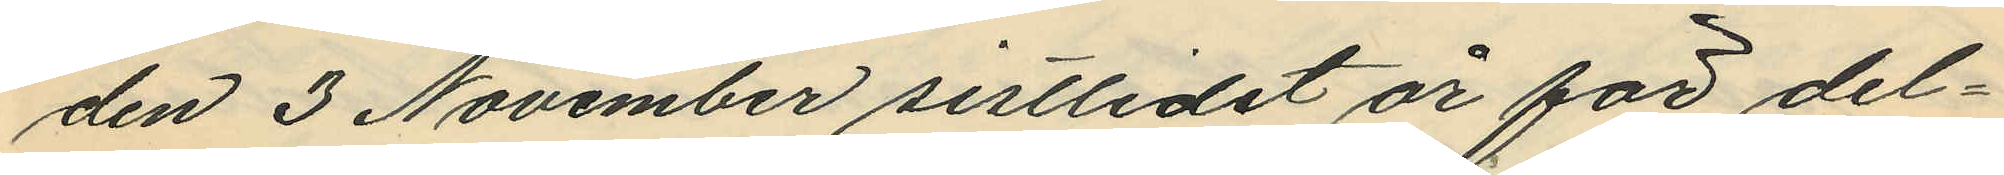den 3 November sistlidet år för del¬
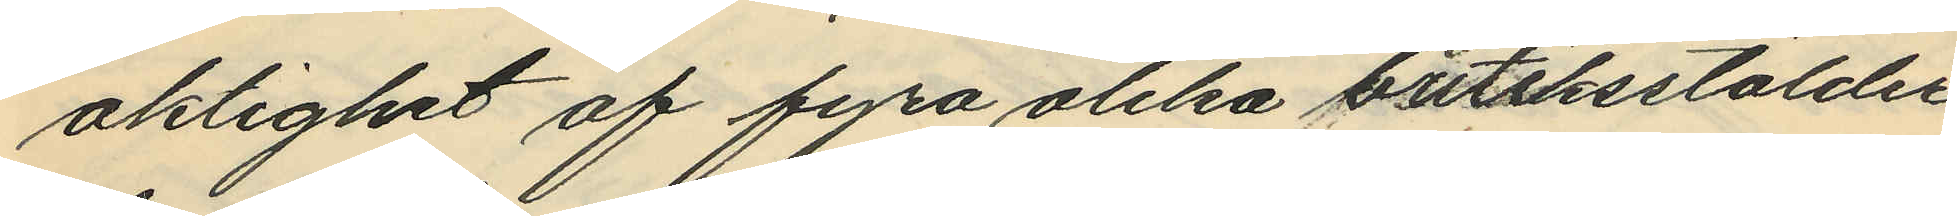aktighet af fyra olika butiksstölder
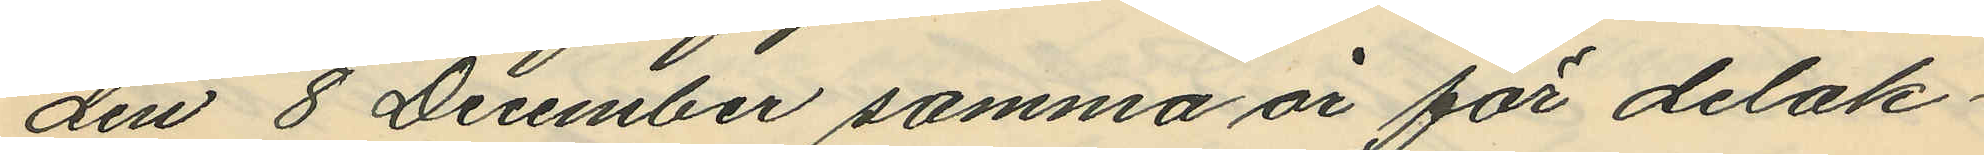den 8 December samma år för delak¬
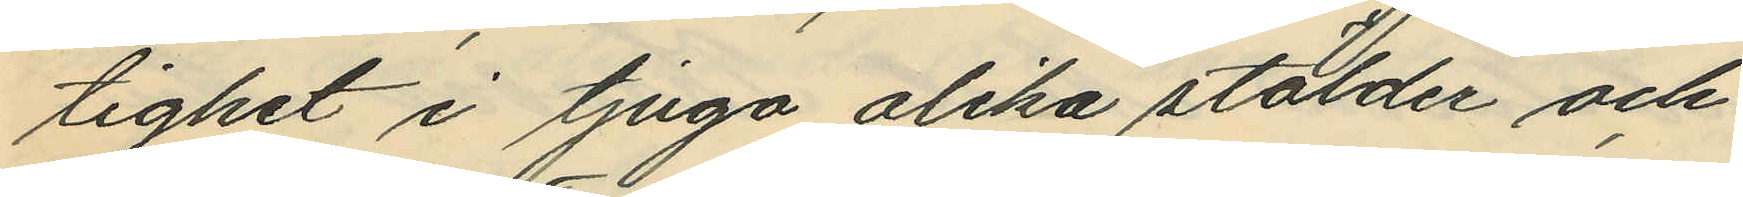tighet i tjugo olika stölder och
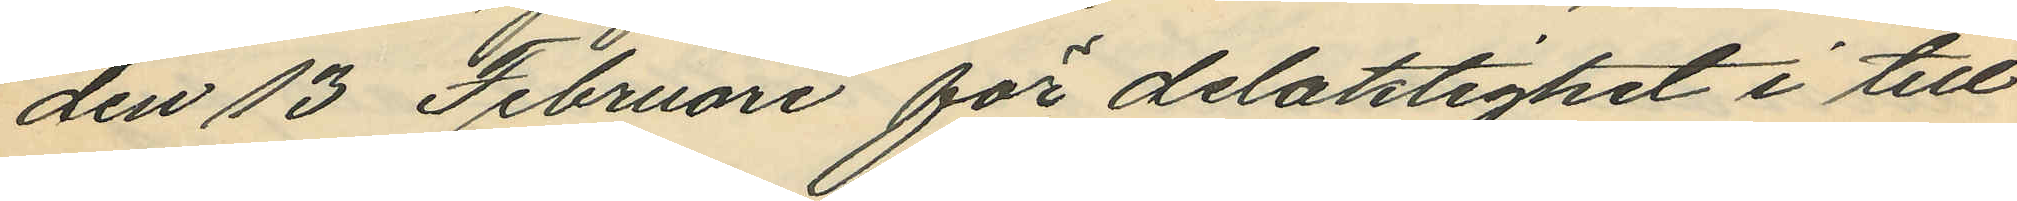den 13 Februari för delaktighet i till
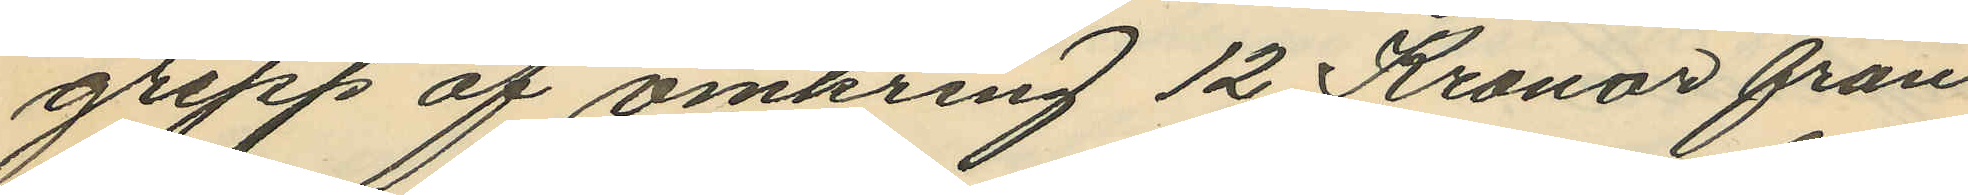grepp af omkring 12 Kronor från
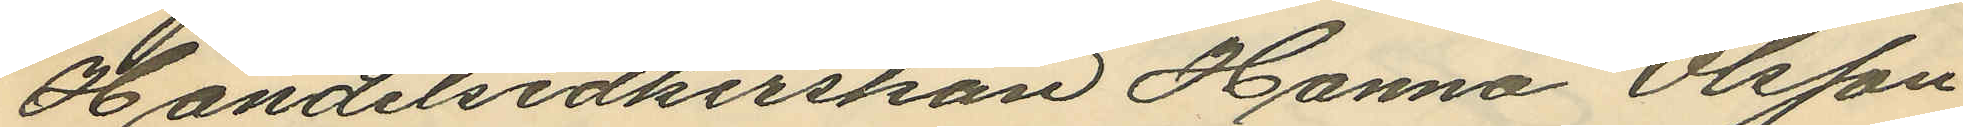Handelsidkerskan Hanna Olsson
